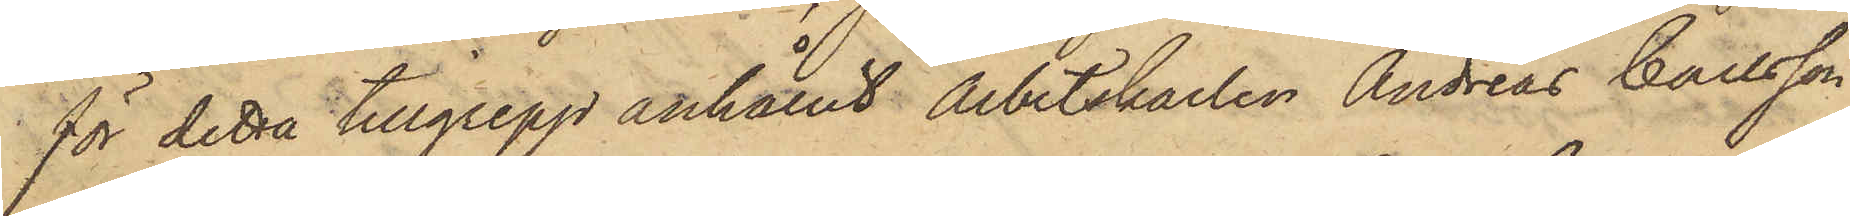för detta tillgrepp anhållit Arbetskarlen Andreas Carlsson,
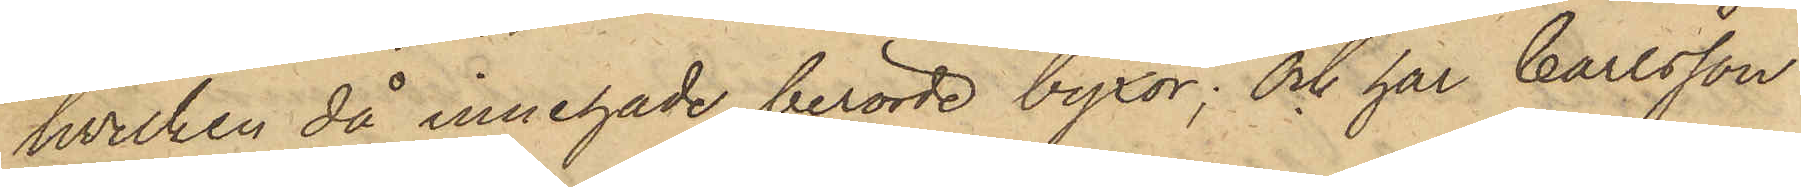hvilken då innehade berörde byxor; och har Carlsson
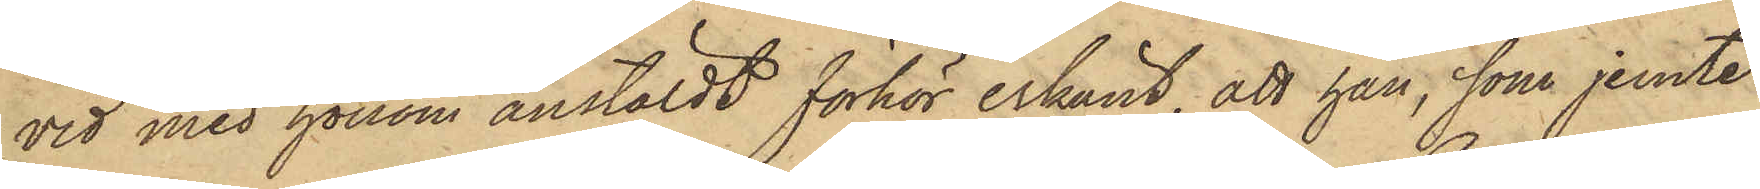vid med honom anstäldt förhör erkänt, att han, som jemte
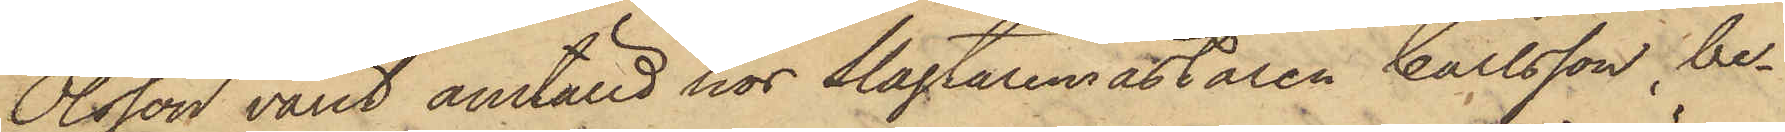Olsson varit anställd hos Slagtaremästaren Carlsson, be¬
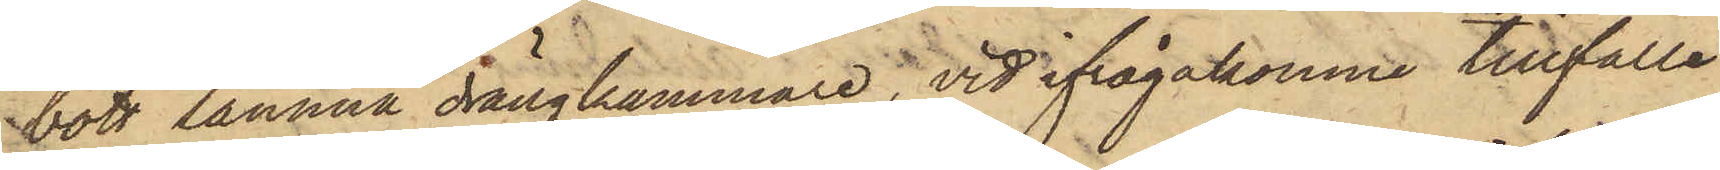bott samma drängkammare, vid ifrågakomne tillfälle
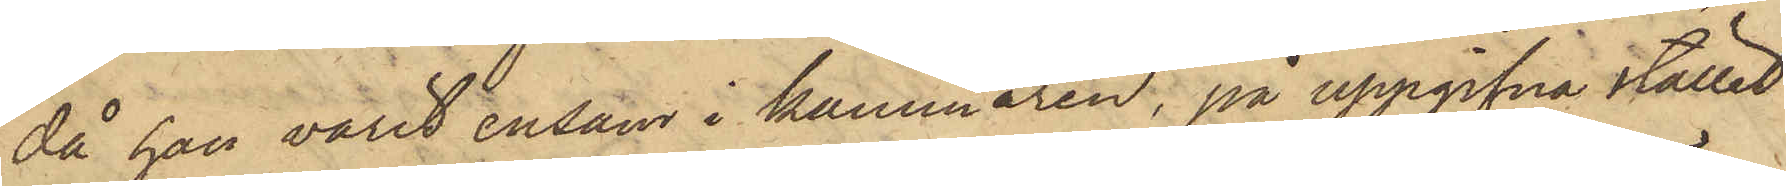då han varit ensam i kammaren, på uppgifna stället
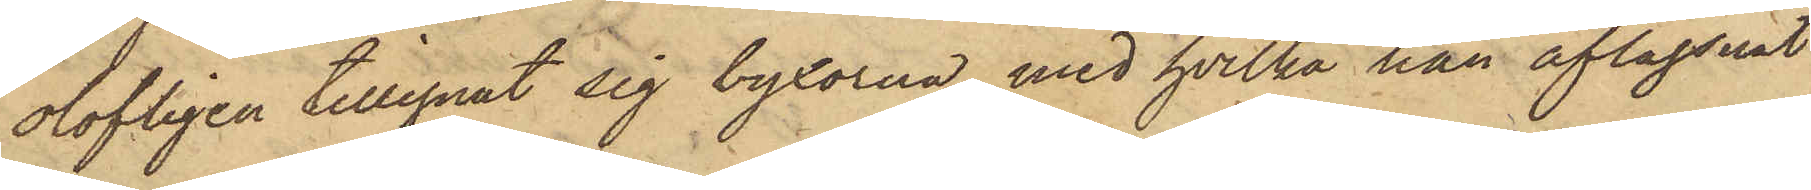olofligen tillegnat sig byxorna, med hvilka han aflägsnat
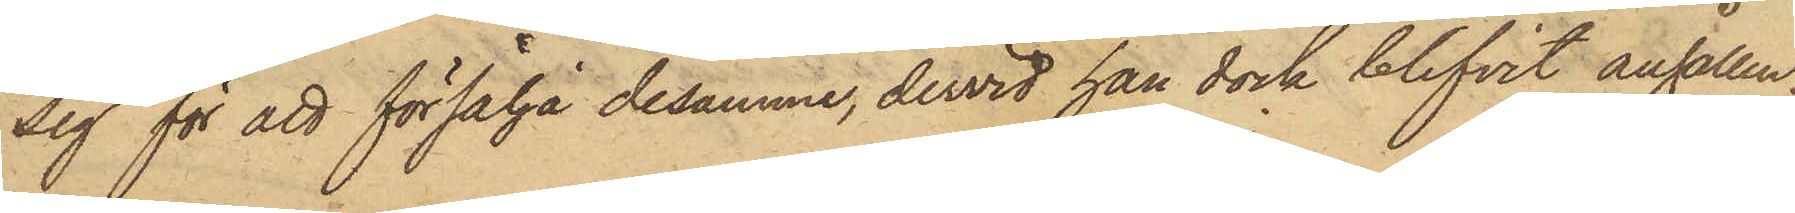sig för att försälja desamme, dervid han dock blifvit anhållen.
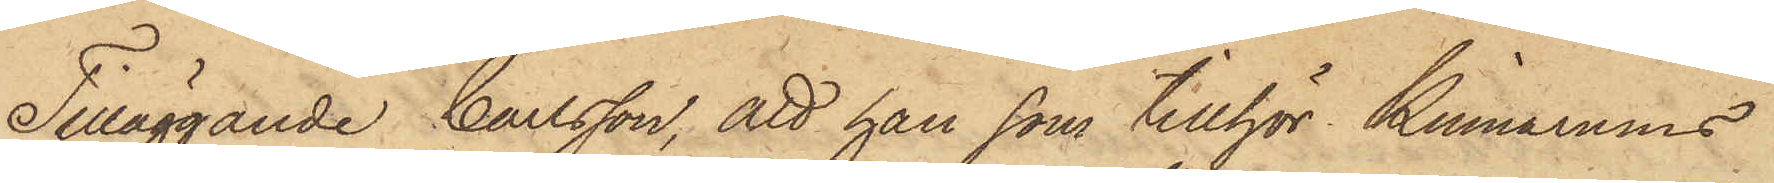Tilläggande Carlsson, att han som tillhör Kinnarums
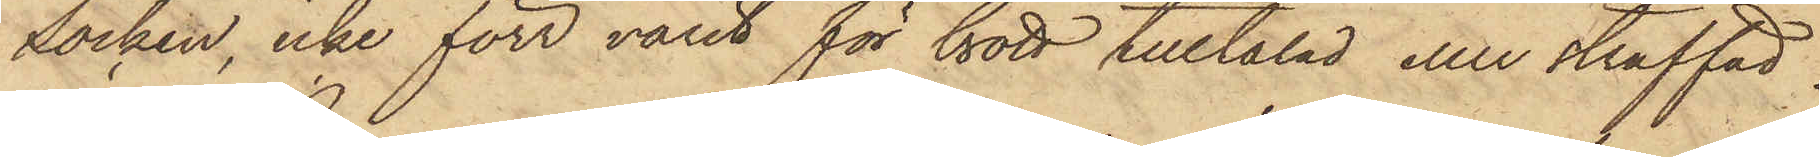socken, icke förr varit för brott tilltalad eller straffad.
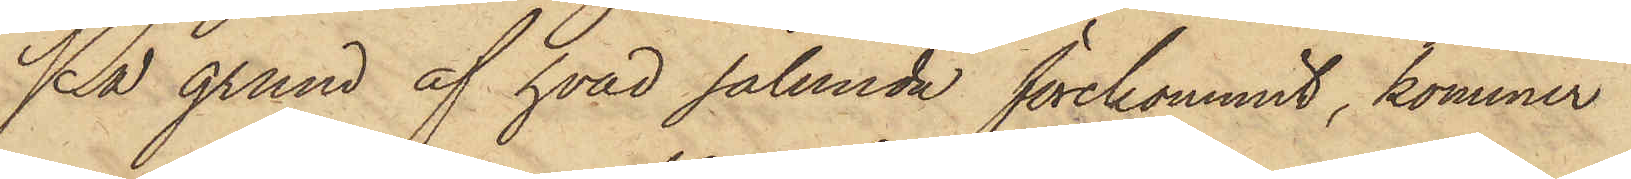På grund af hvad sålunda förekommit, kommer
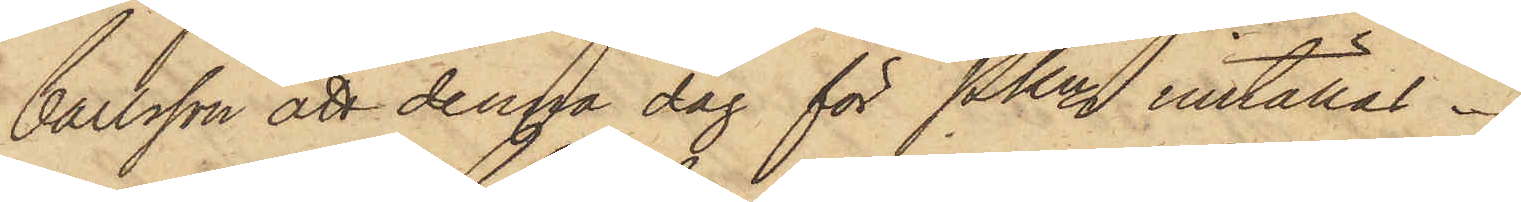Carlsson att denna dag för Pkn inställas.
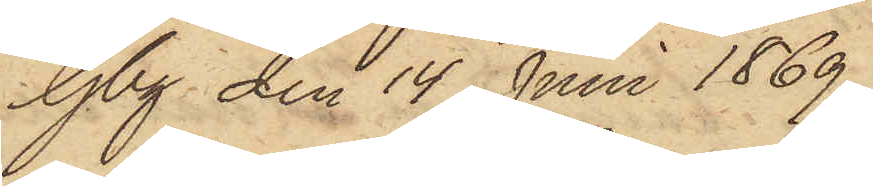Gbg den 14 Juni 1869.
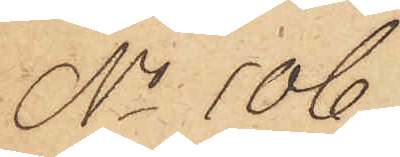No 106.
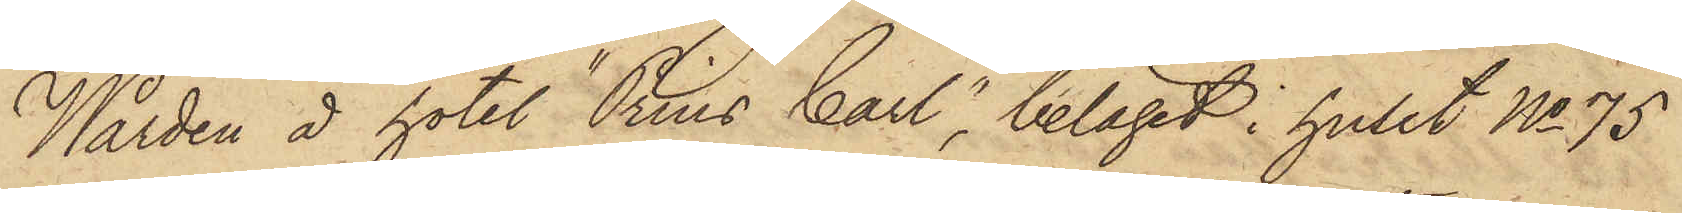Wärden å hotel "Prins Carl", beläget i huset No 75
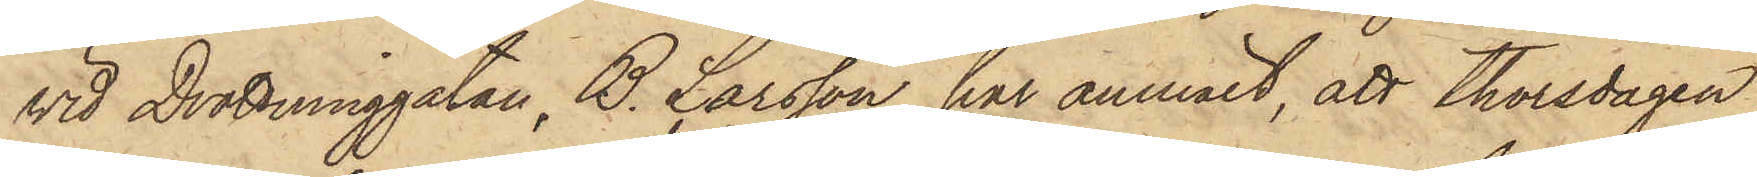vid Drottninggatan, B. Larsson, har anmält, att thorsdagen
